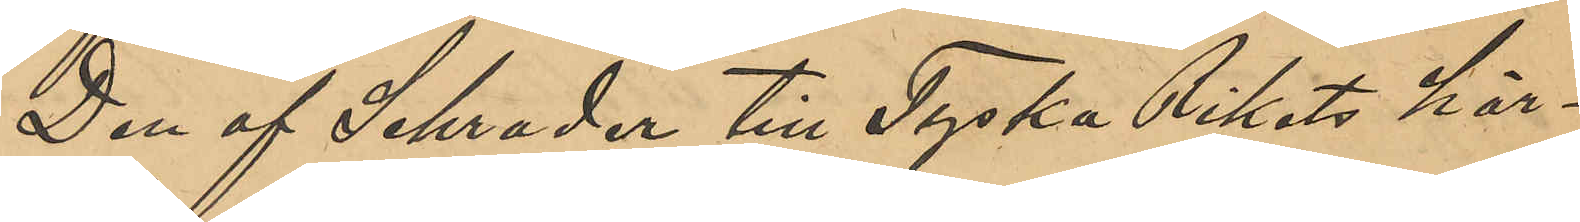Den af Schrader till Tyska Rikets här¬
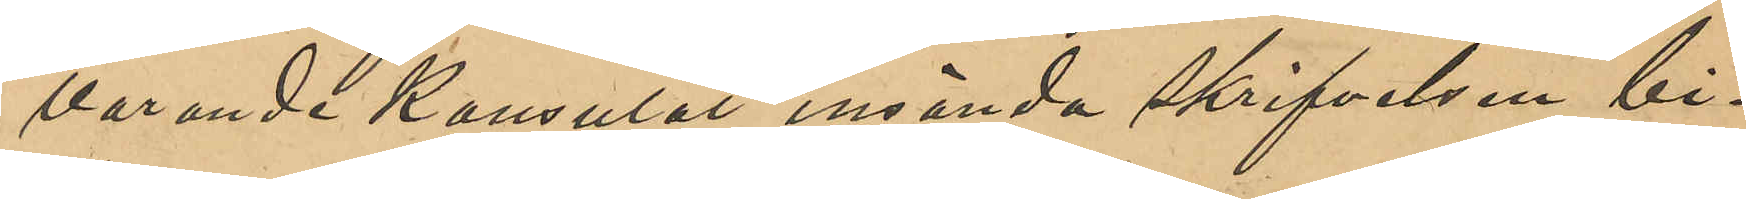varande Konsulat insända skrifvelsen bi¬
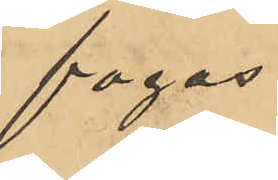fogas.
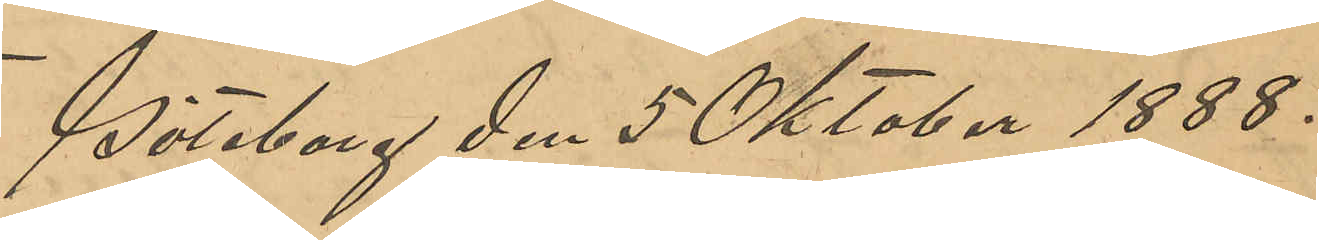Göteborg den 5 Oktober 1888.
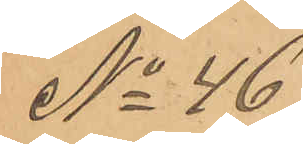No 46
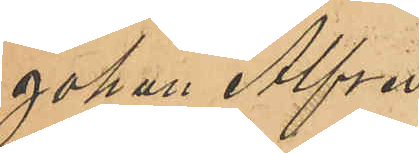Johan Alfred
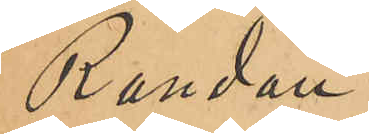Randau.
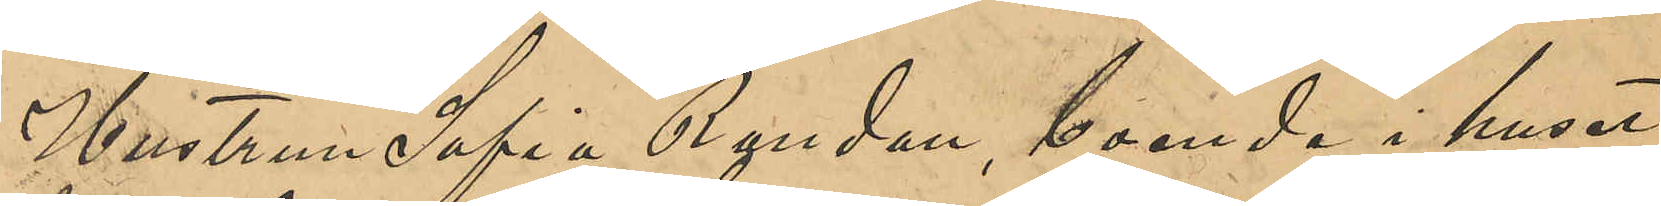Hustrun Sofia Randau, boende i huset
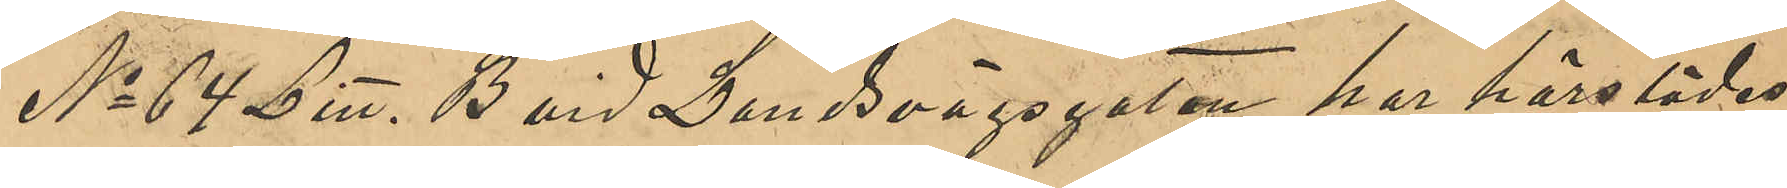No 64 Litt. B vid Landsvägsgatan, har härstädes
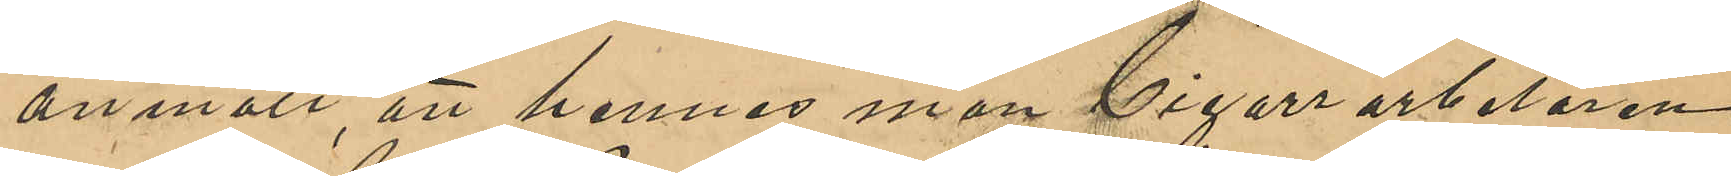anmält att hennes man Cigarrarbetaren
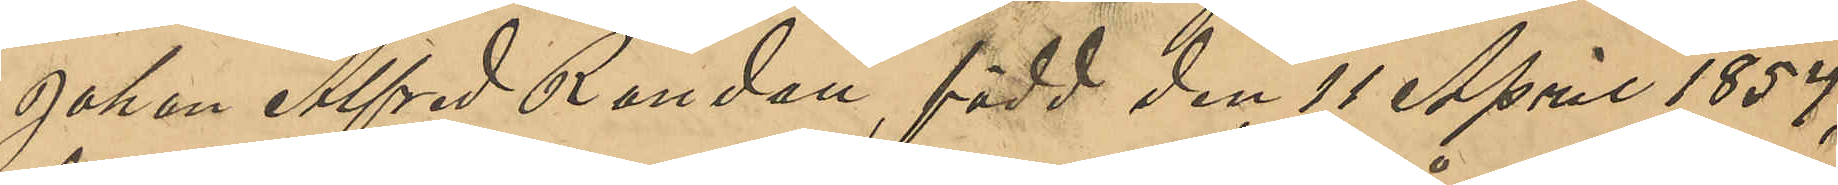Johan Alfred Randau, född den 11 April 1854,
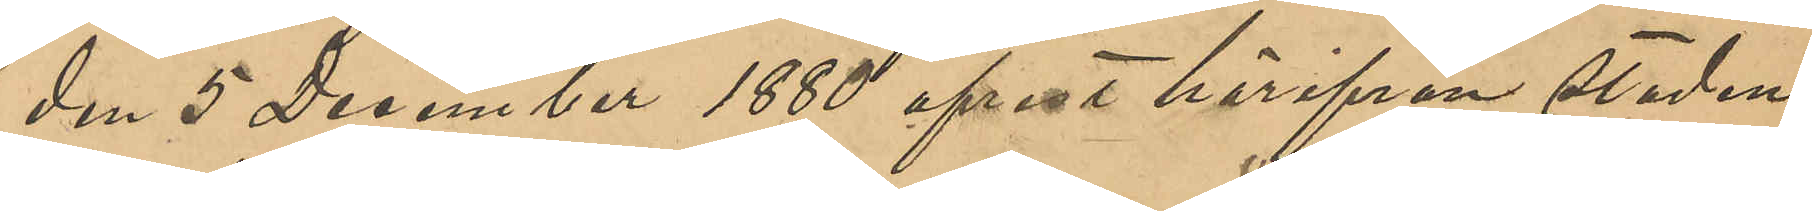den 5 December 1880 afrest härifrån staden
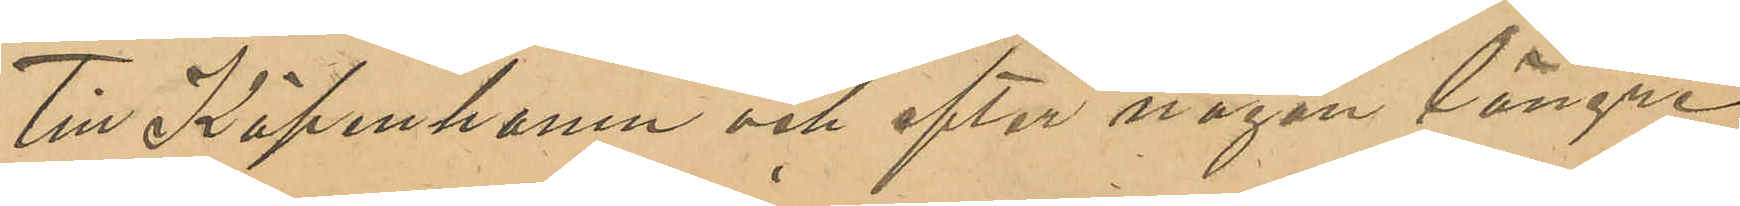till Köpenhamn och efter någon längre
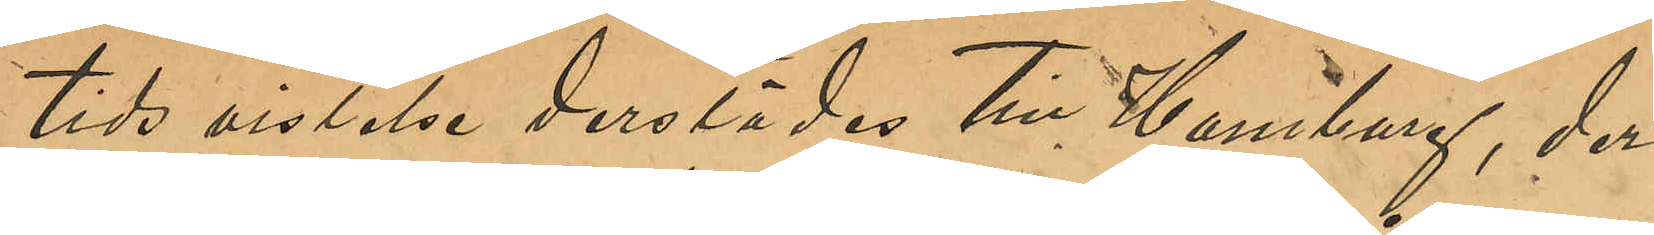tids vistelse derstädes till Hamburg, der
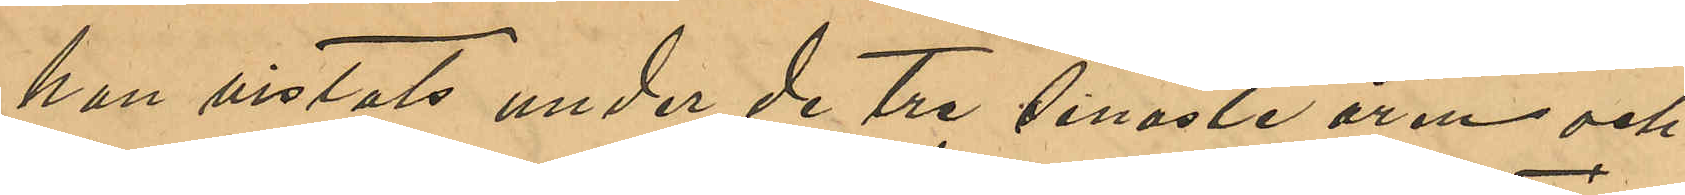han vistats under de tre senaste åren och
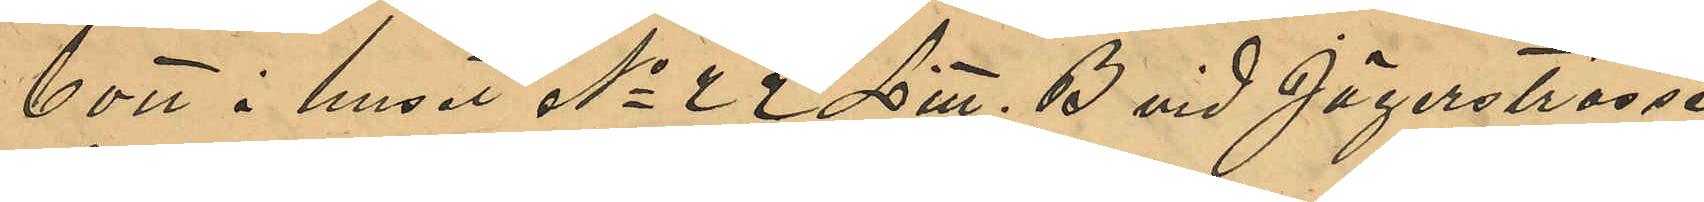bott i huset No 22 Litt. B vid Jägerstrasse
